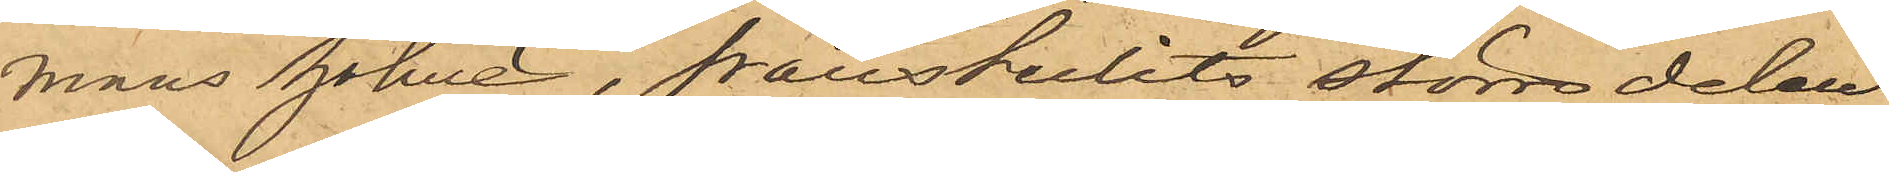mans holme, frånstulits större delen
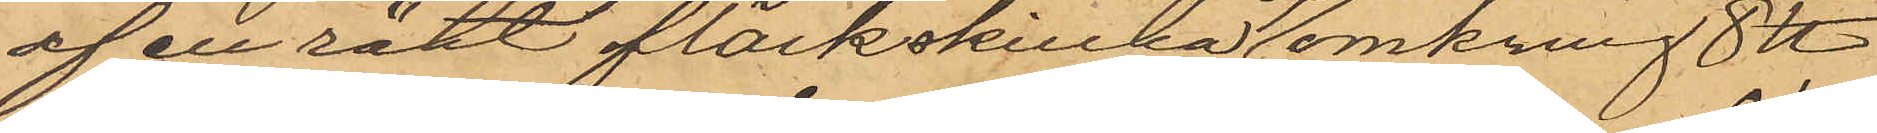en rökt fläskskinka af omkring 8 ℔
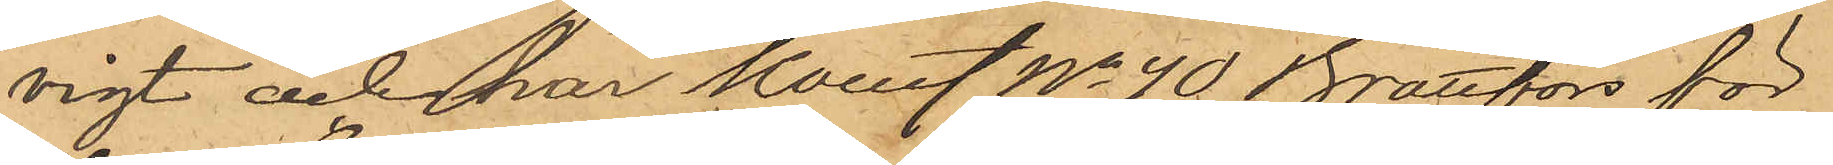vigt och har Konst No 40 Brattfors för
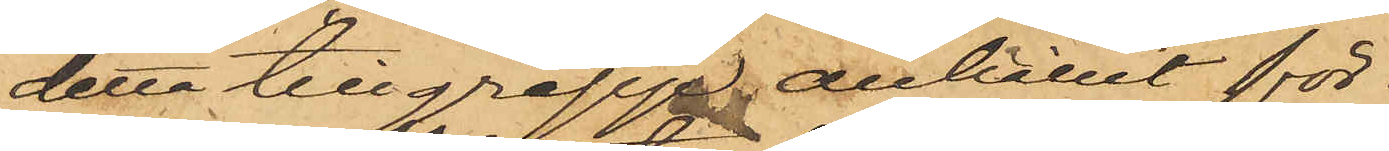detta tillgrepp anhållit för
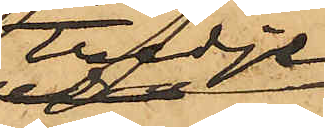tredje
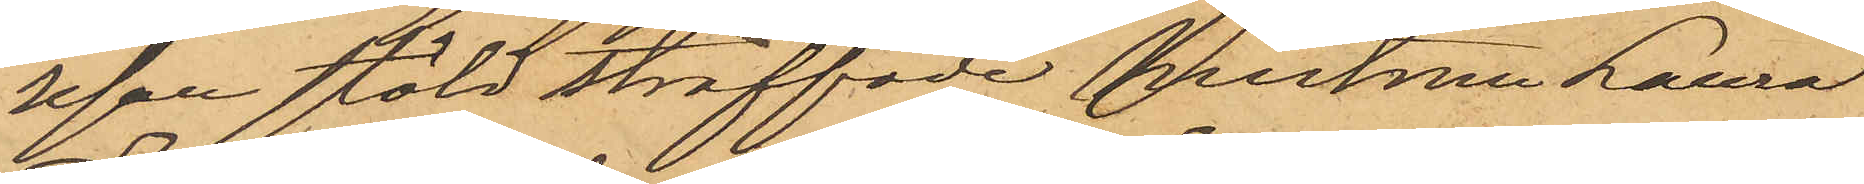resan stöld straffade hustrun Laura
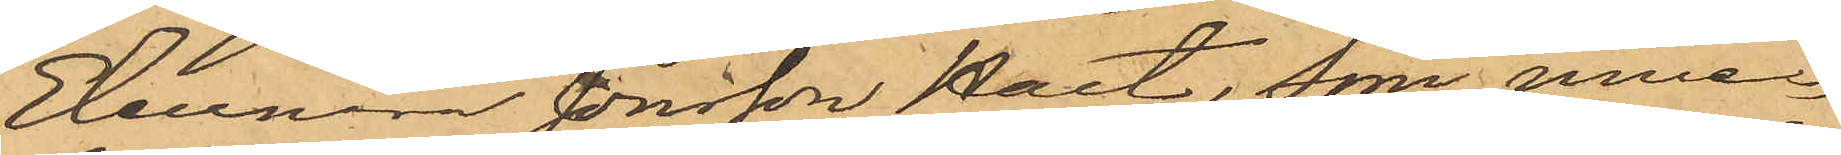Eleonora Jonsson Hast, som inne¬
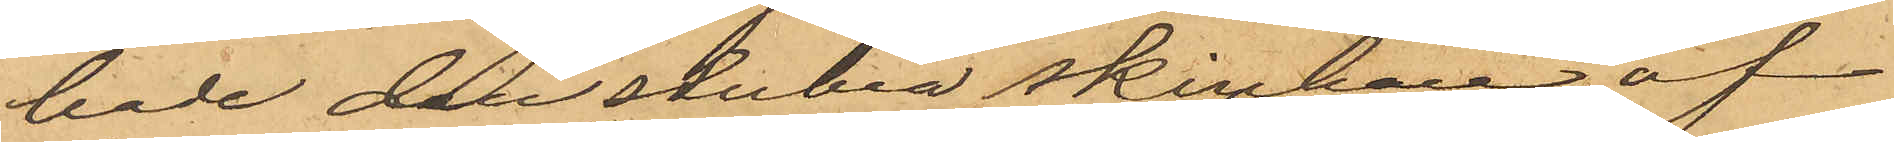hade den stulna skinkan, af
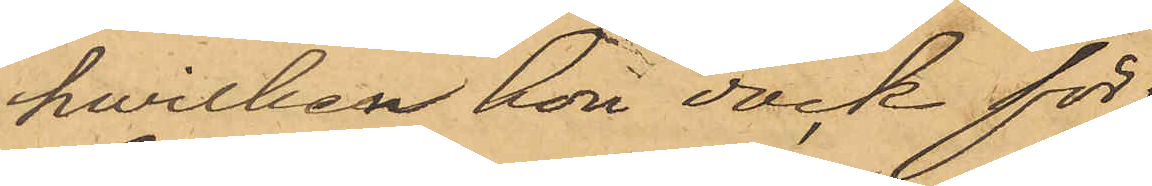hwilken hon dock för¬
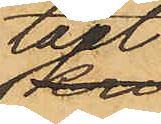tärt
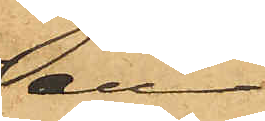en
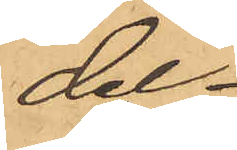del.
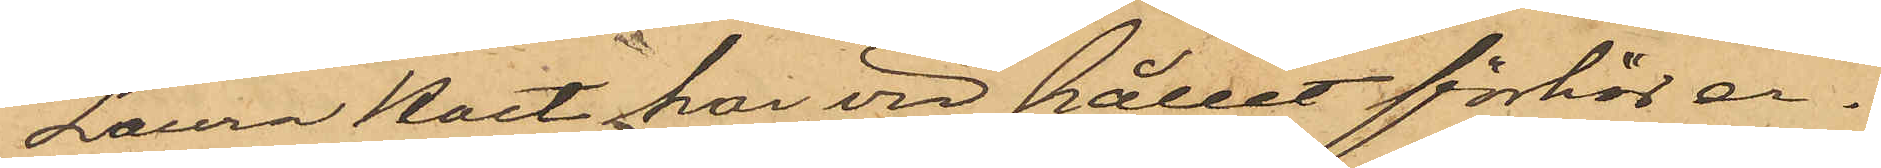Laura Hast har vid hållet förhör er-
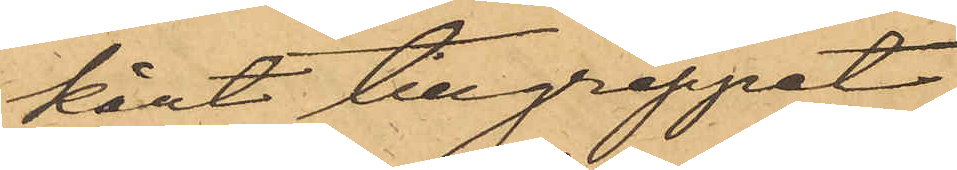känt tillgreppet.
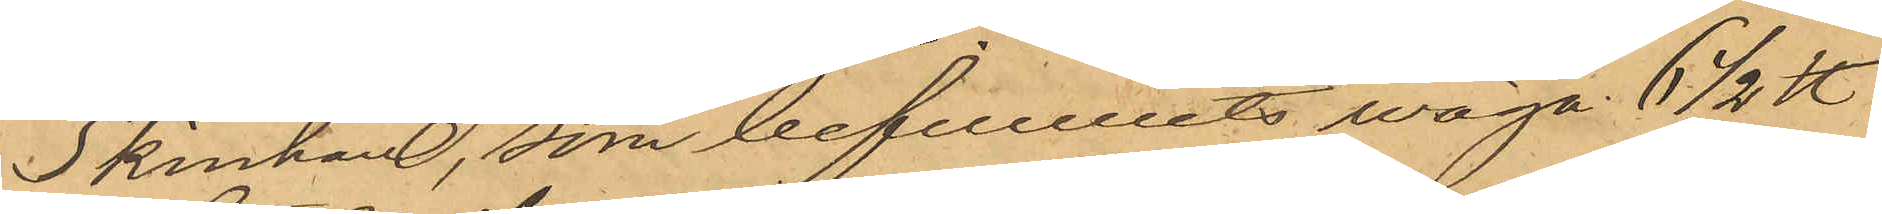Skinkan, som befunnits väga 6 1/2 ℔
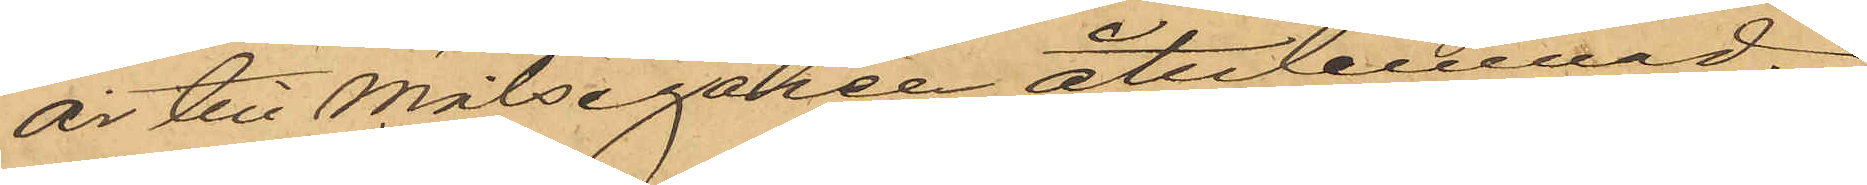är till Målsegaren återlemnad.
